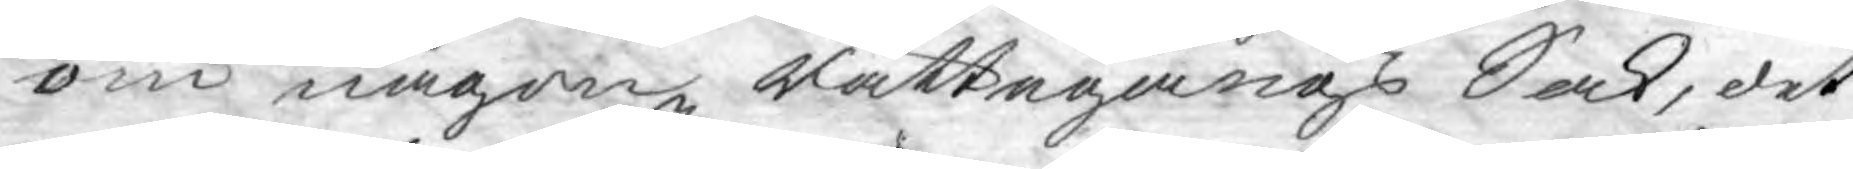om någon Rättegångs Sak, det
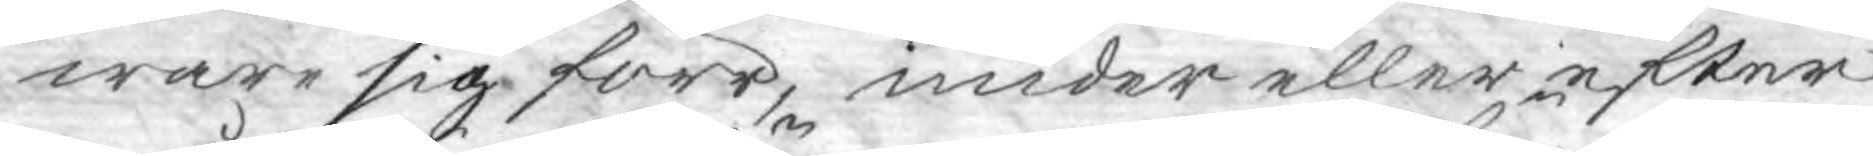ware sig förr, under eller efter
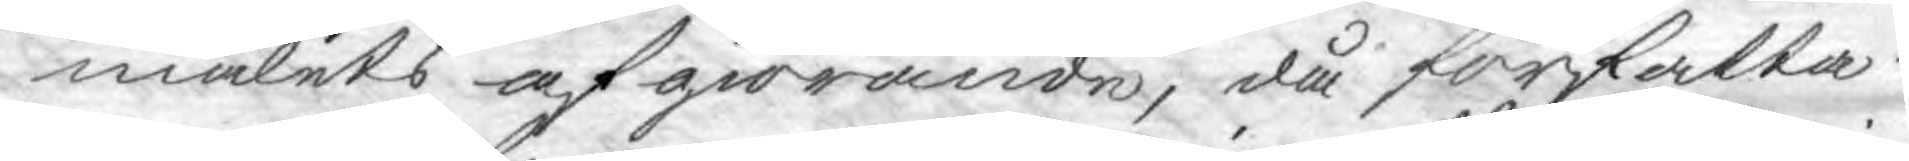målets afgiörande, då författa¬
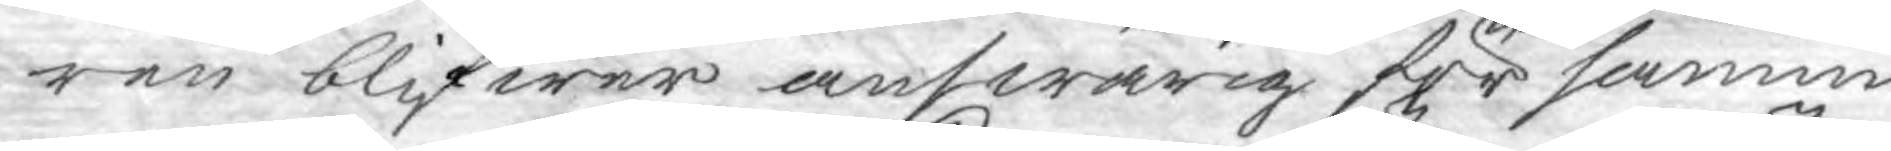ren blifwer answarig för sannin¬
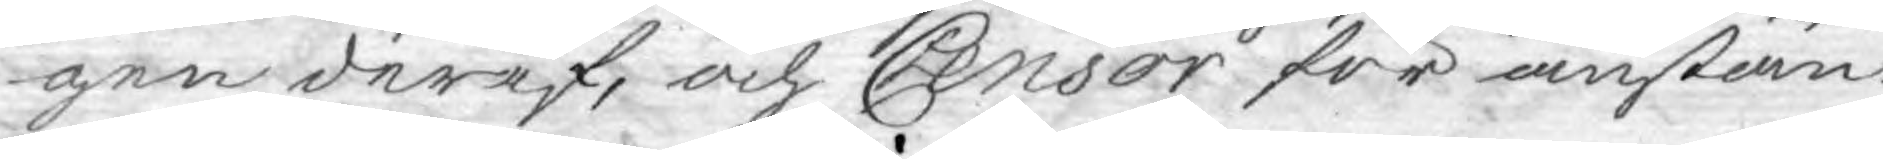gen deraf, och Censor för anstän¬
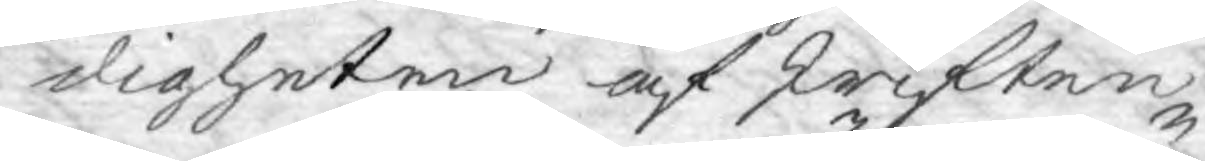digheten af skriften.
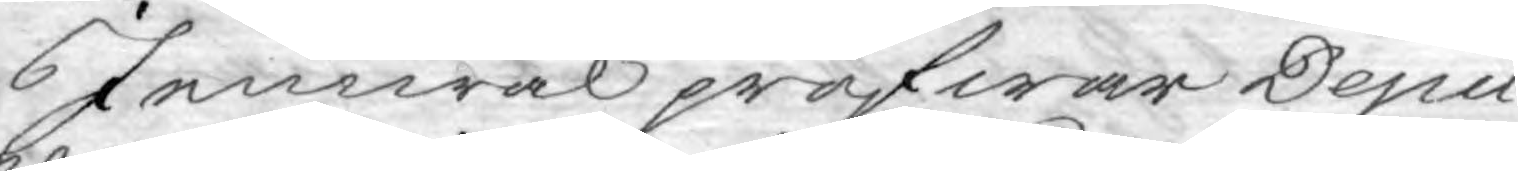Jemwäl pröfwar Depu¬
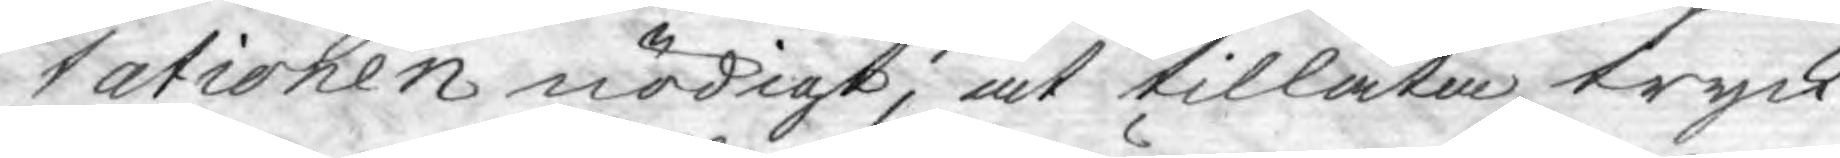tationen nödigt, at tillåta tryck¬
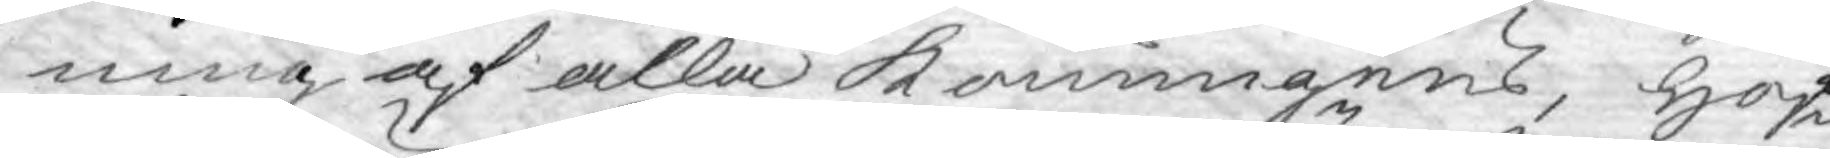ning af alla Konungens, Hof¬
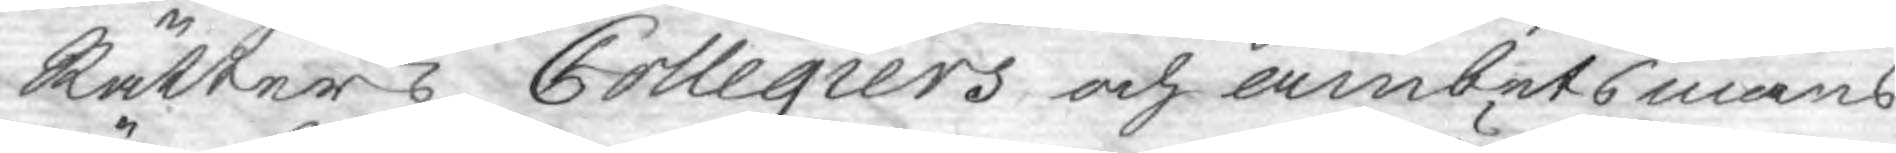Rätters, Collegiers och ämbetsmäns
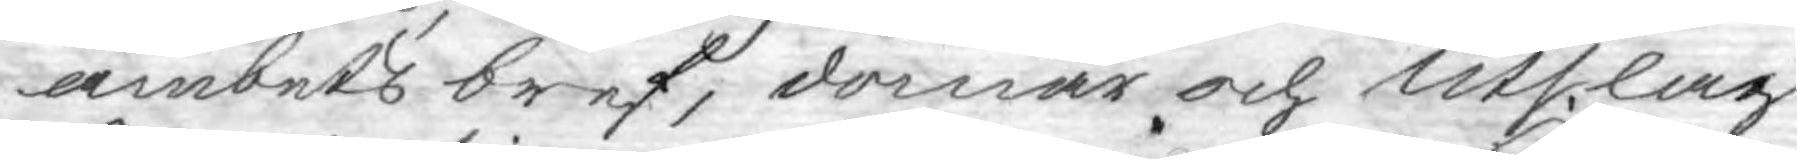ämbets bref, domar och Utslag,
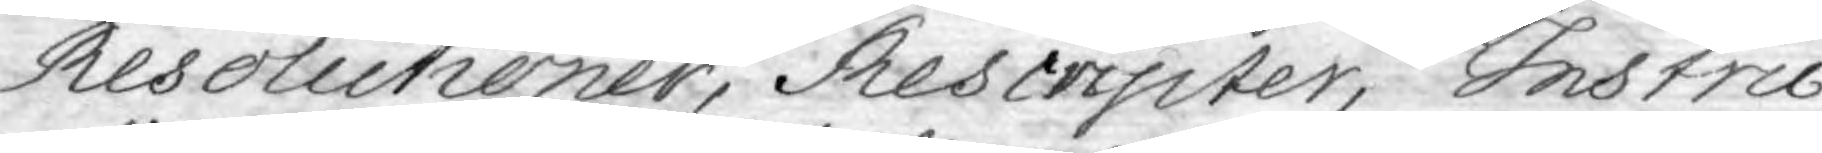Resolutioner, Rescripiter, Instru¬
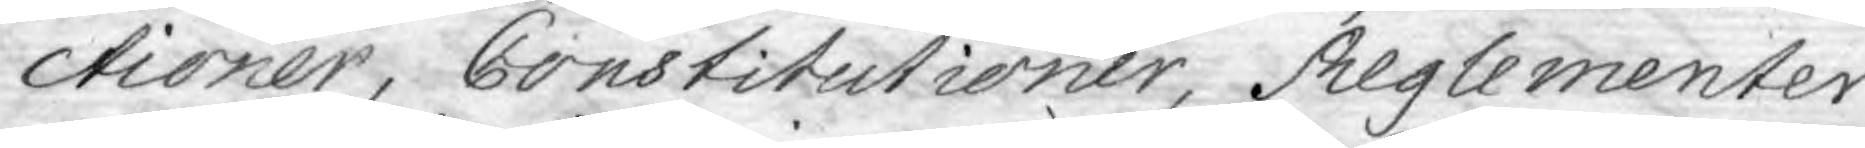ctioner, Constitutioner, Reglementer
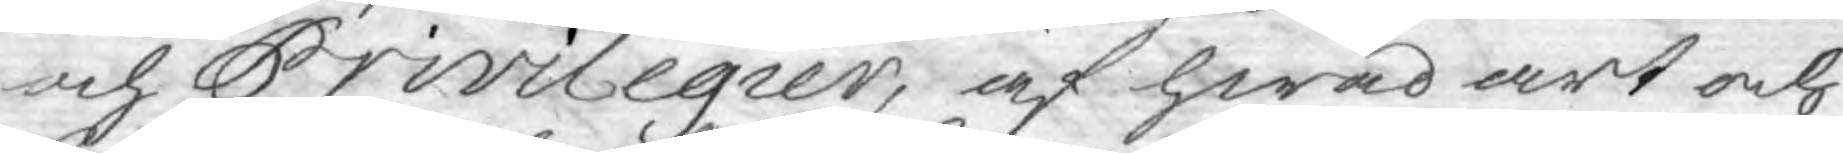och Privilegier, af hwad art och
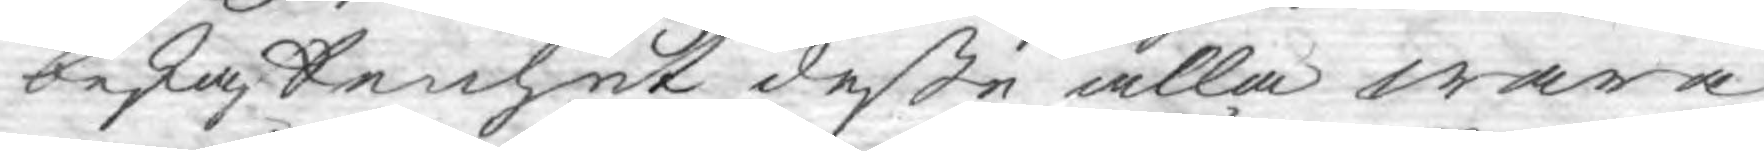beskaffenhet deße alla wara
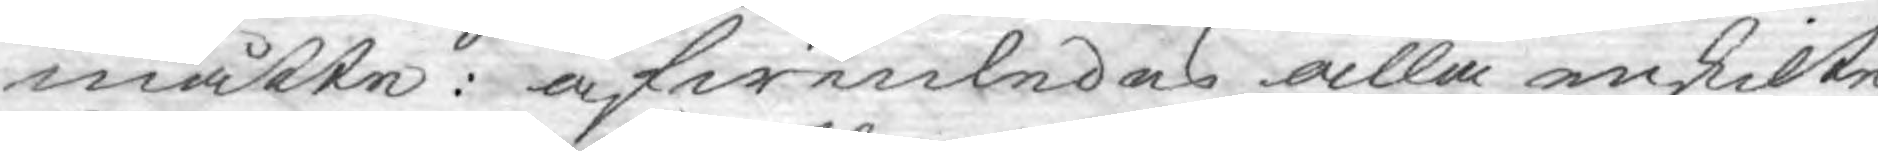måtte: äfwenledes alla enskilte
